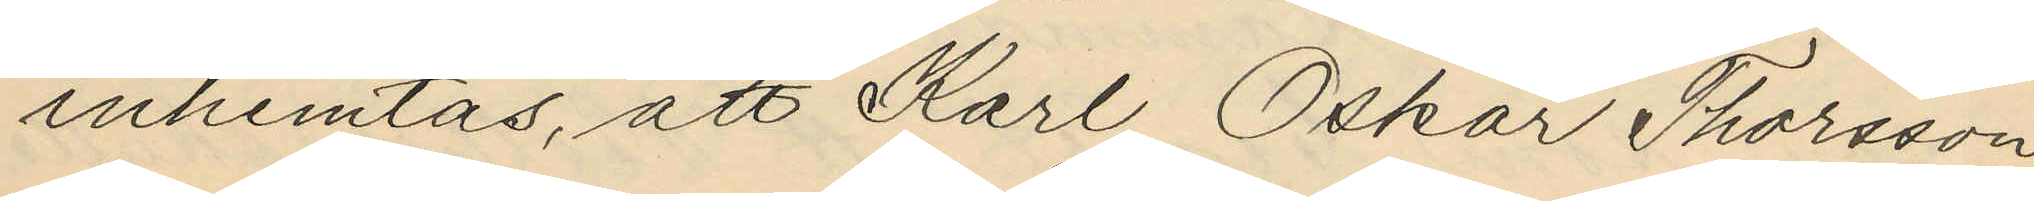inhemtas, att Karl Oskar Thorsson
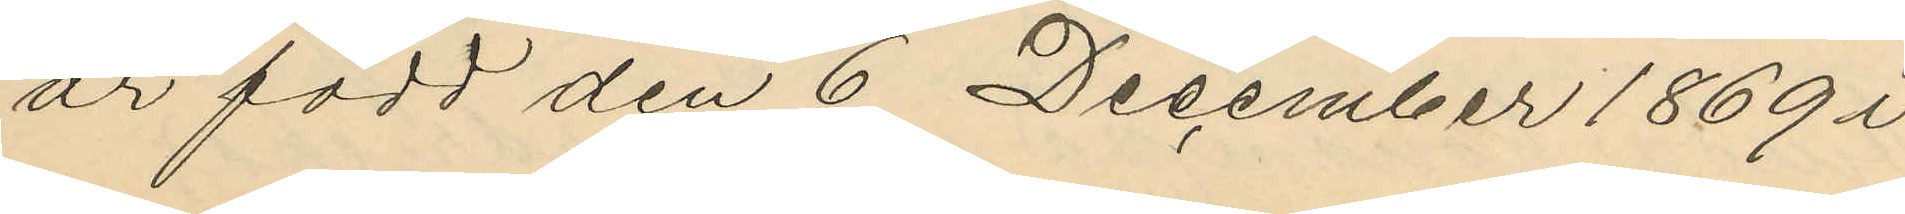är född den 6 December 1869 i
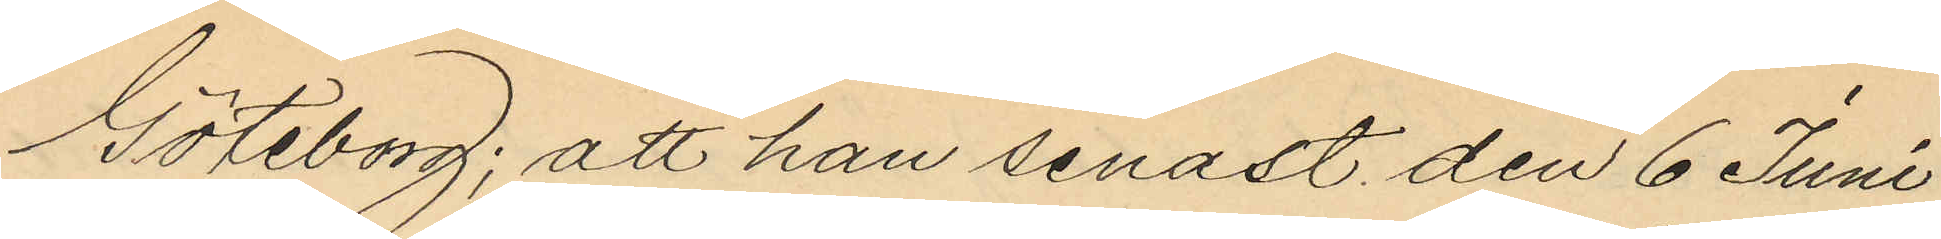Göteborg; att han senast den 6 Juni
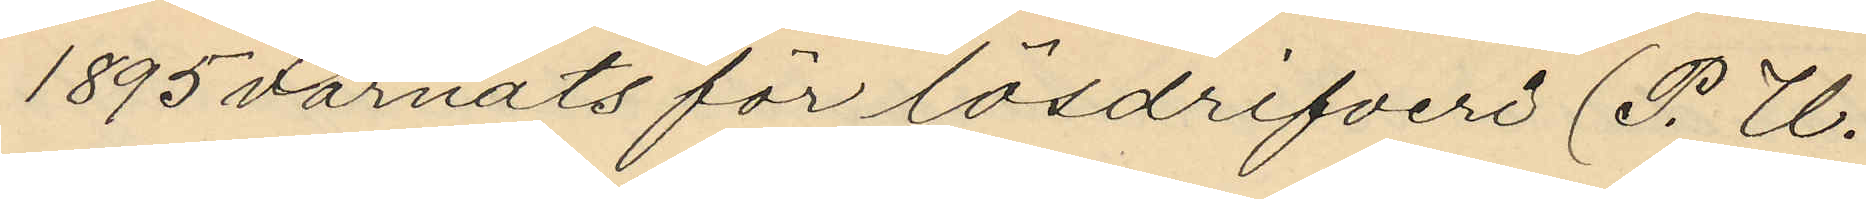1895 varnats för lösdrifveri (P. U.
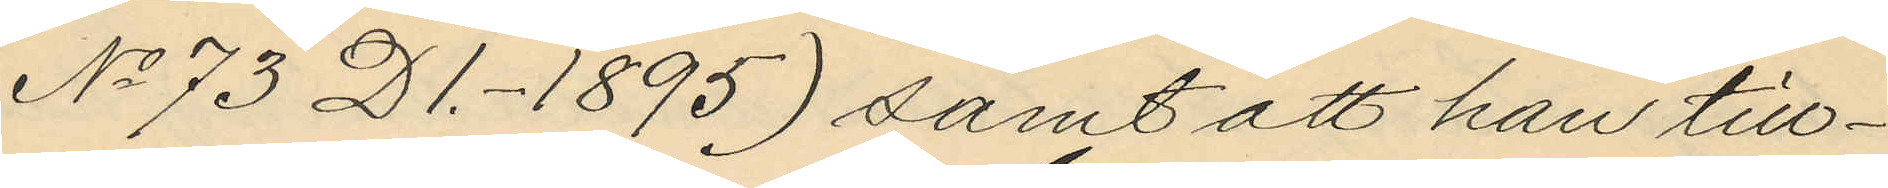No 73 D1.-1895) samt att han till¬
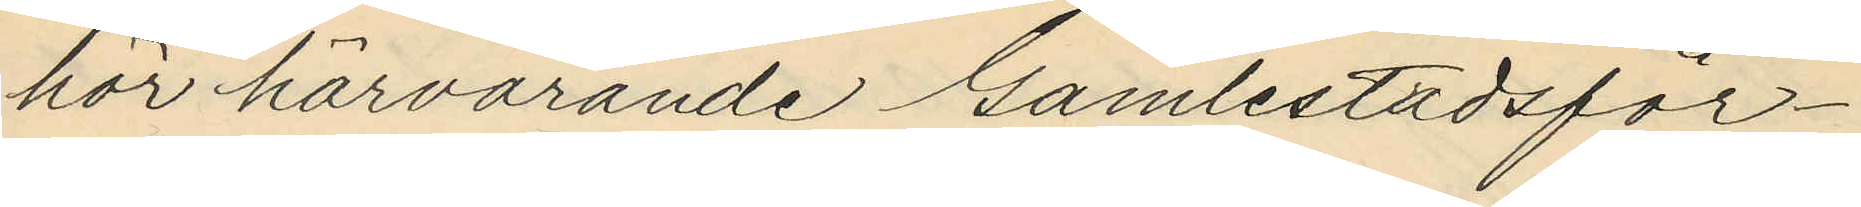hör härvarande Gamlestadsför¬
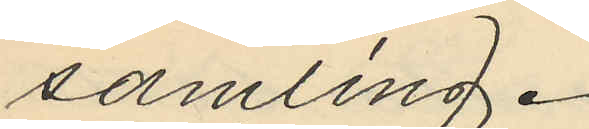samling.
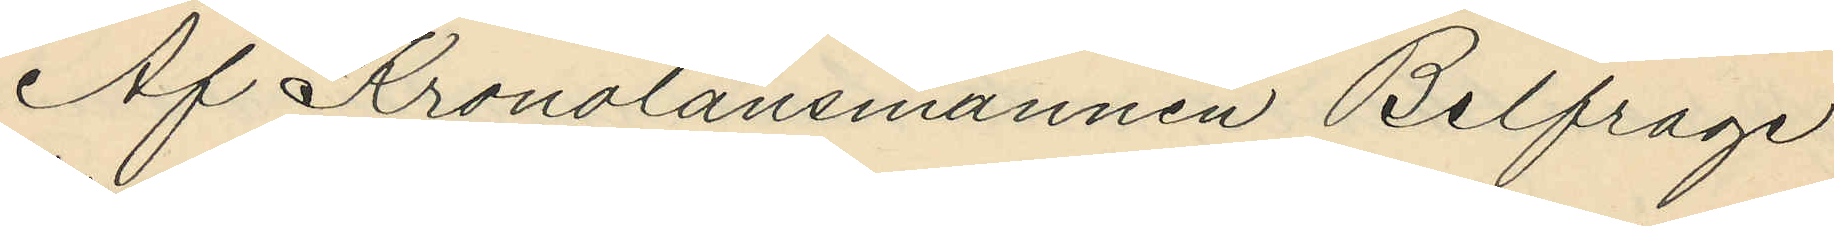Af Kronolänsmannen Belfrage
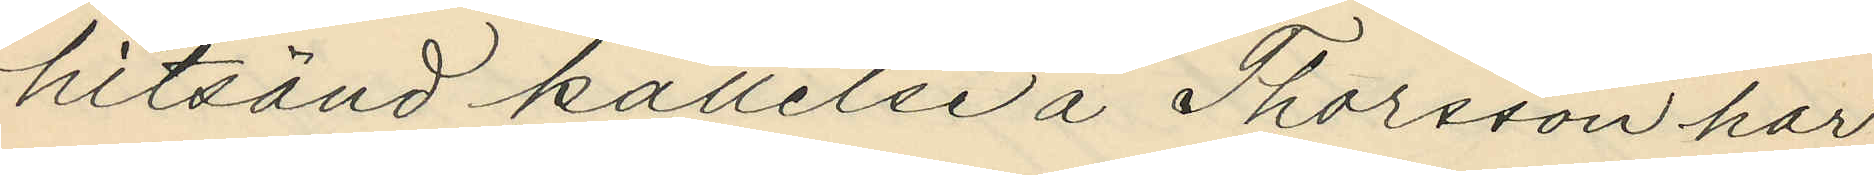hitsänd kallelse å Thorsson har
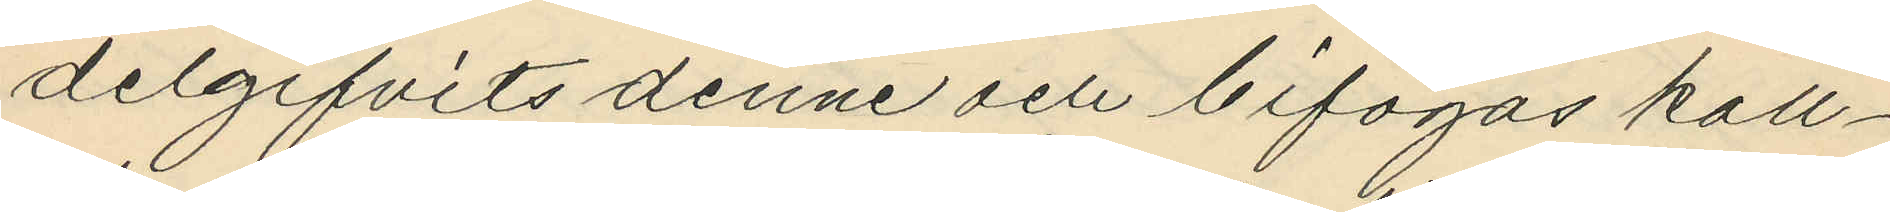delgifvits denne och bifogas kall¬
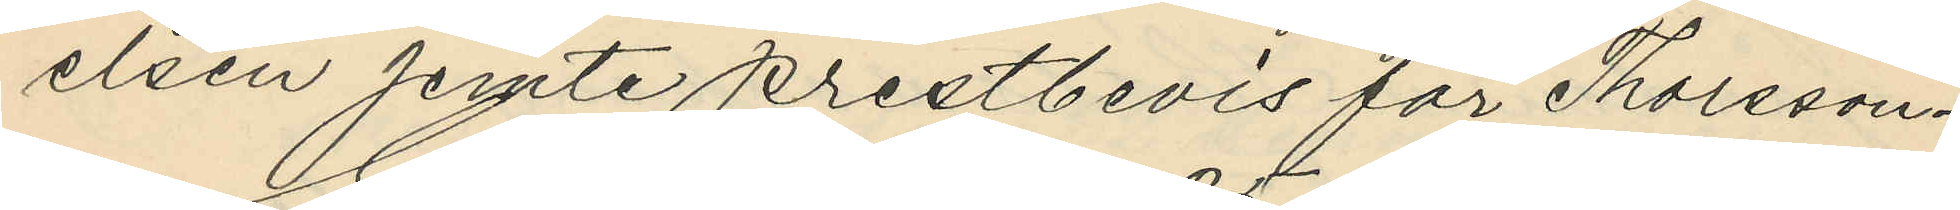elsen jemte prestbevis för Thorsson.
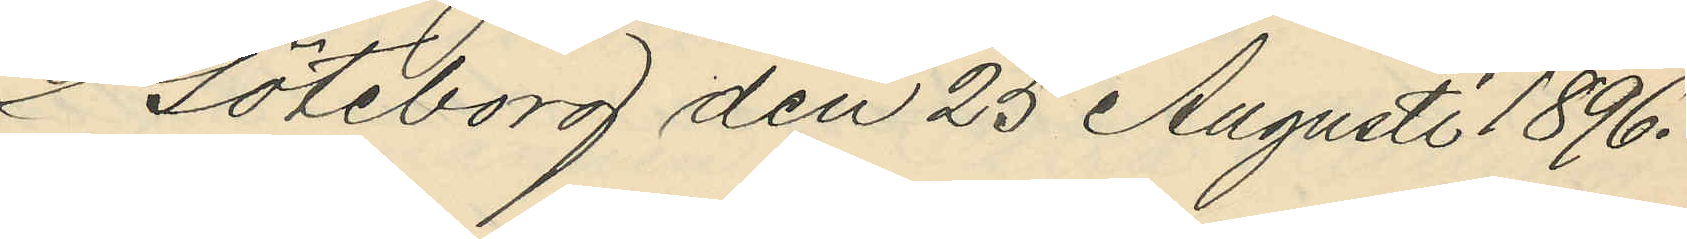Göteborg den 25 Augusti 1896.
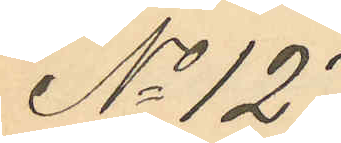No 127.
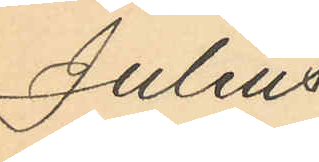Julius
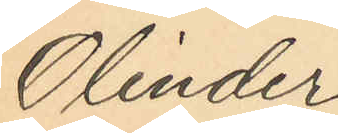Olinder
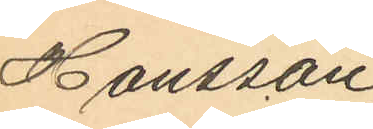Hansson,
